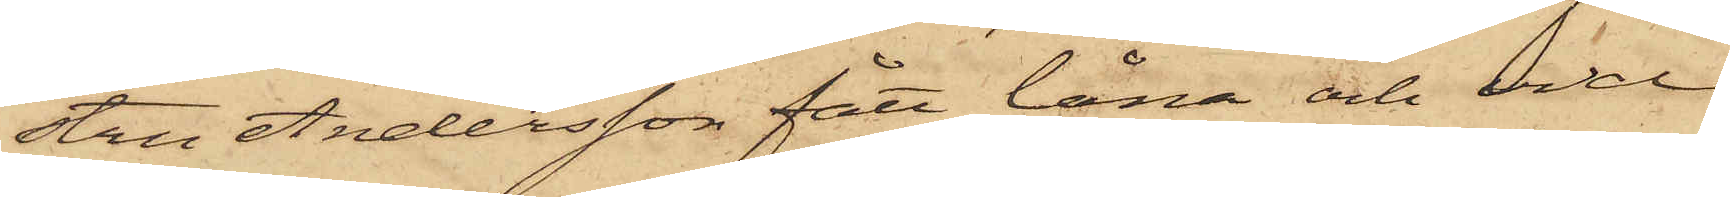stru Andersson fått låna och vid
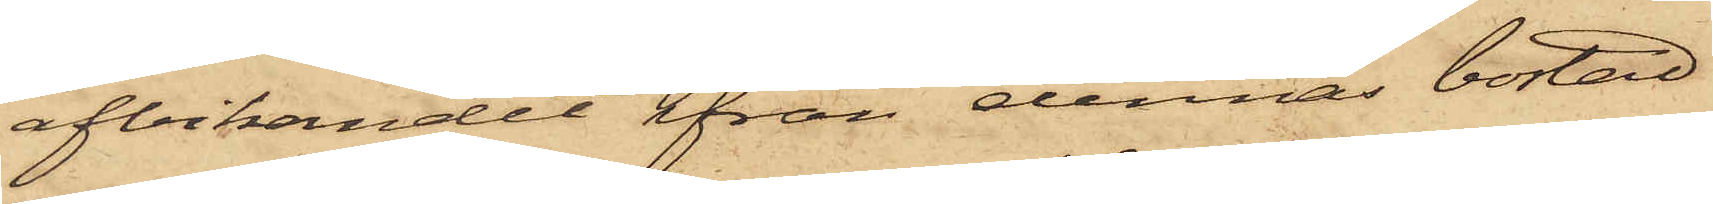afvikandet ifrån dennas bostad
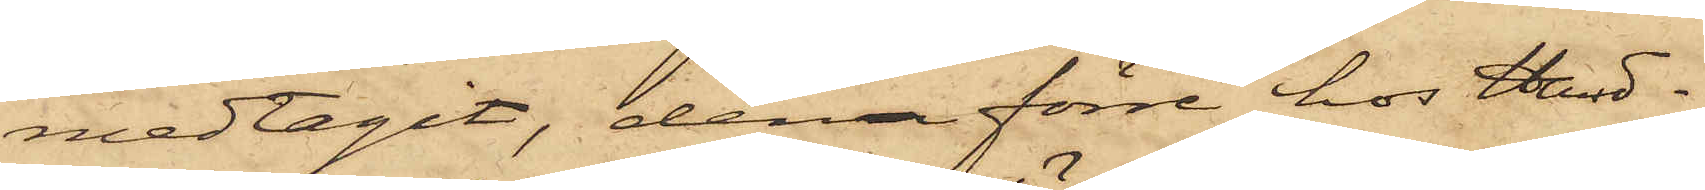medtagit, den förre hos Hand¬
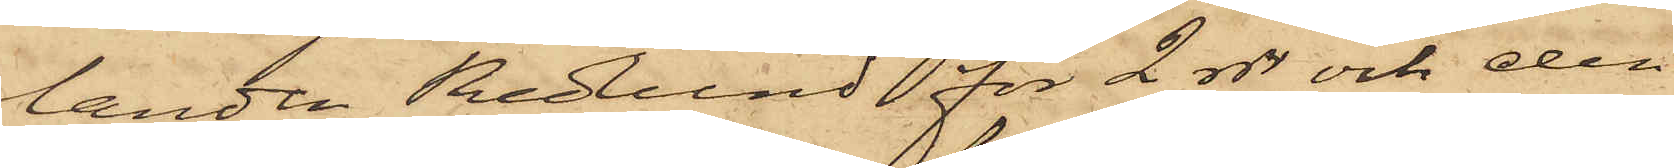landen Redlund för 2 rdr och den
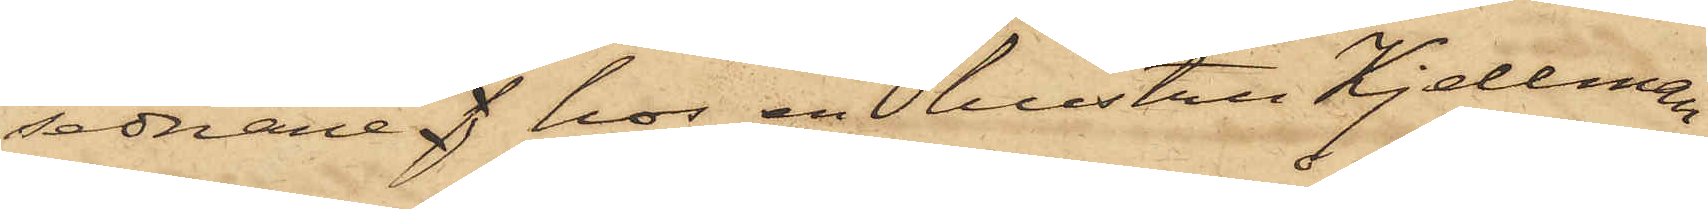sednare f hos en hustru Kjellman
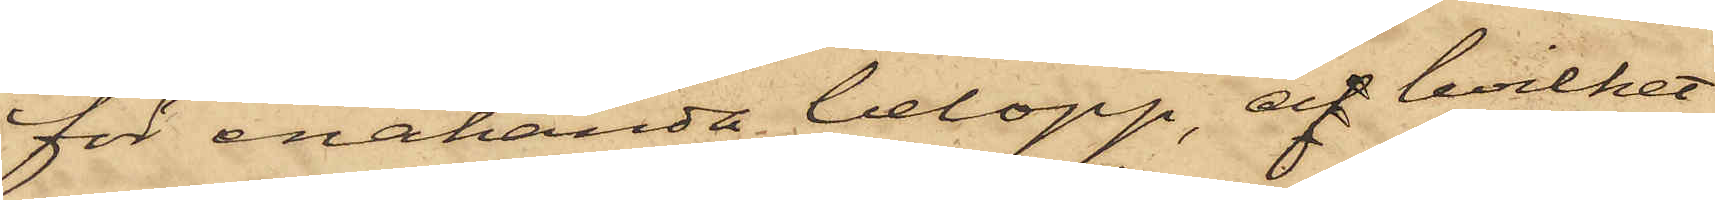för enahanda belopp, af hvilket
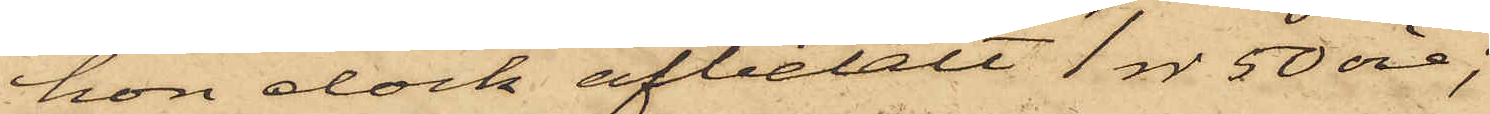hon dock afbetalt 1 rdr 50 öre;
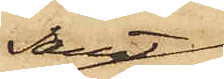samt
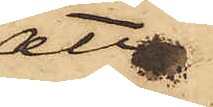att
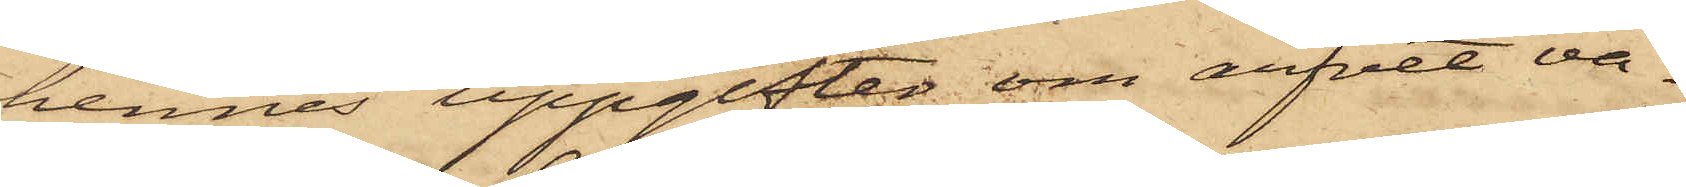hennes uppgifter om arfvet va¬
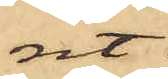rit
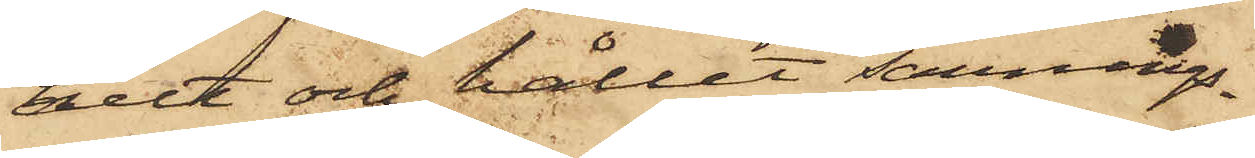helt och hållit sannings¬
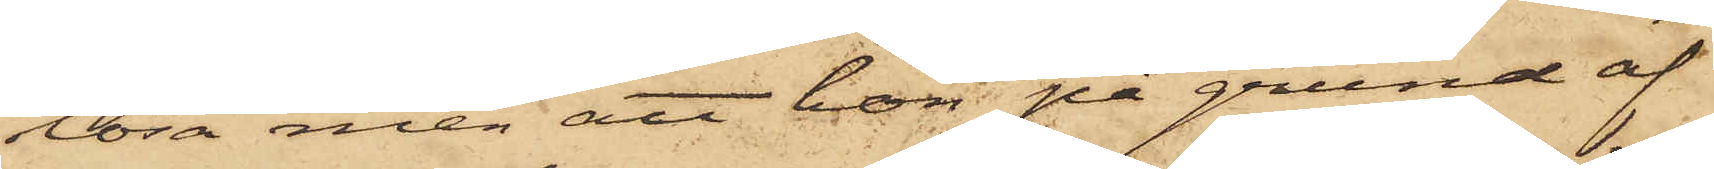lösa men att hon på grund af
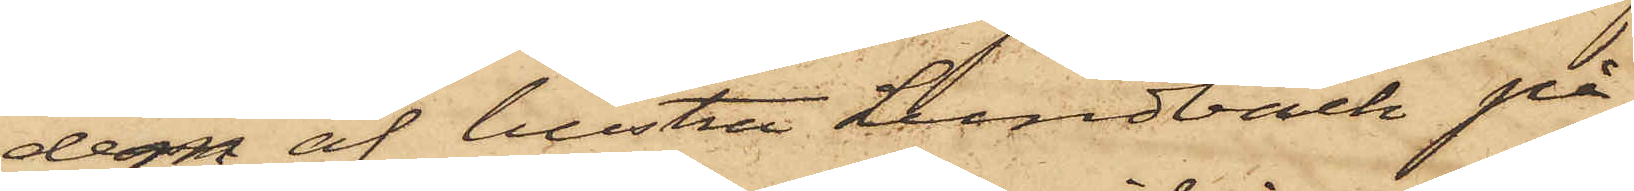dem af hustru Lundbäck på
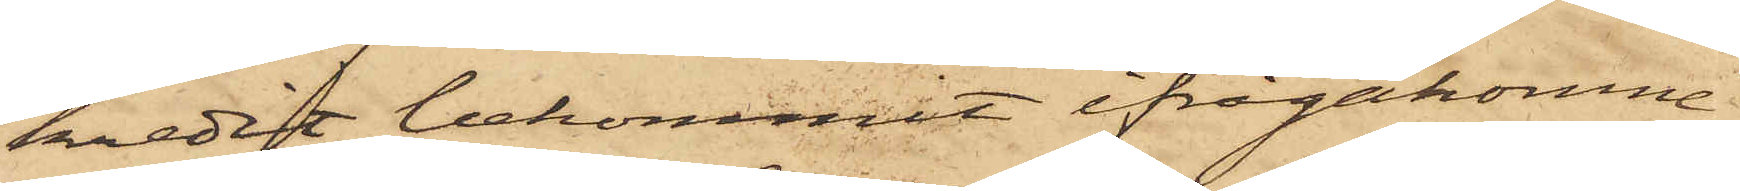kredit bekommit ifrågakomne
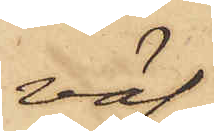väf,
